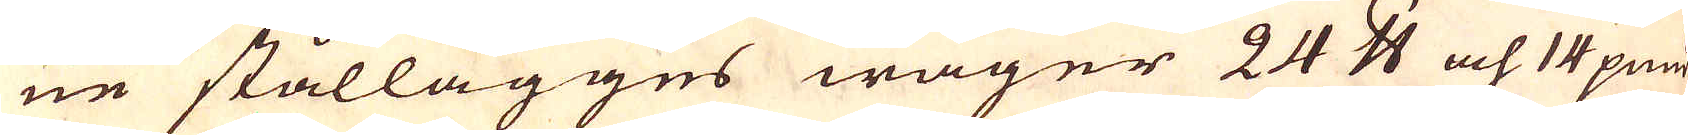ne stållägges wäger 24 skålpund och 14 pund
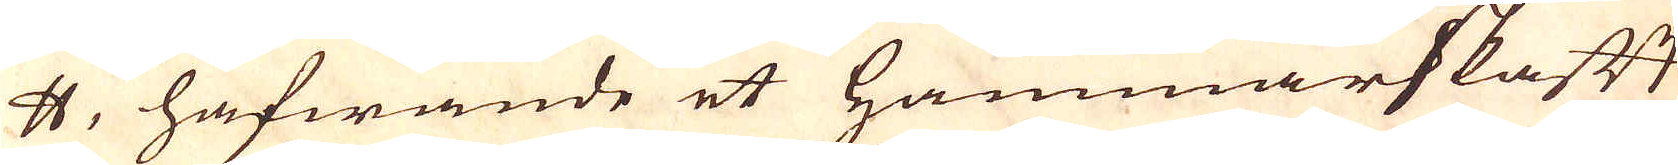skålpund, hafwande et Hammarskafft
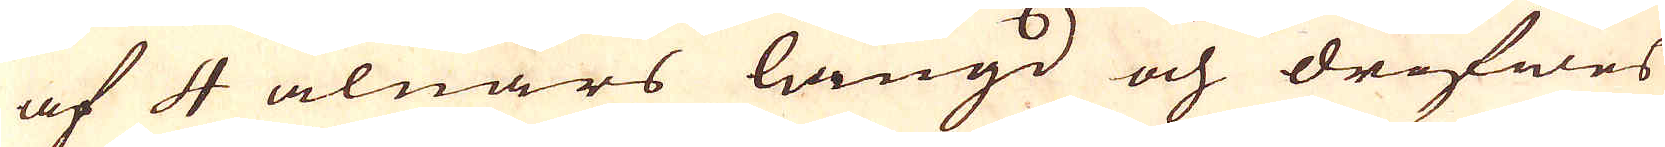af 4 alnars längd och drifwes
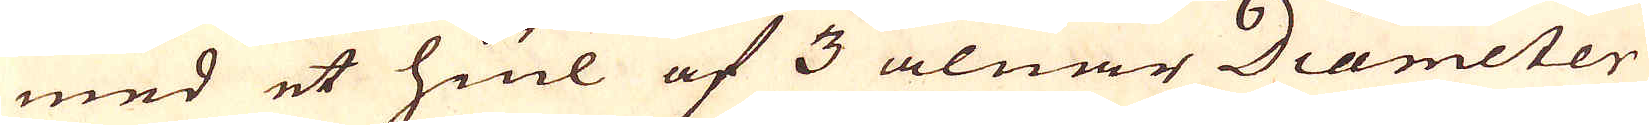med et hiul af 3 alnar Diameter
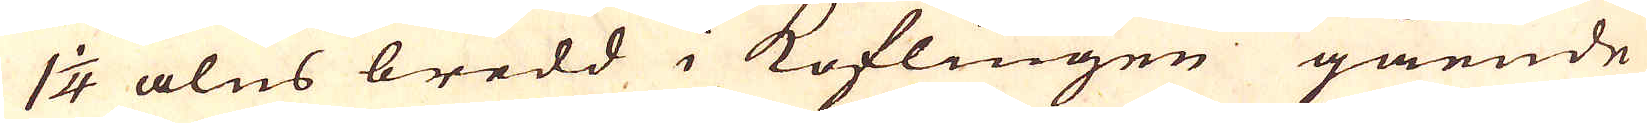1 1/4 alns bredd i koflingen gående
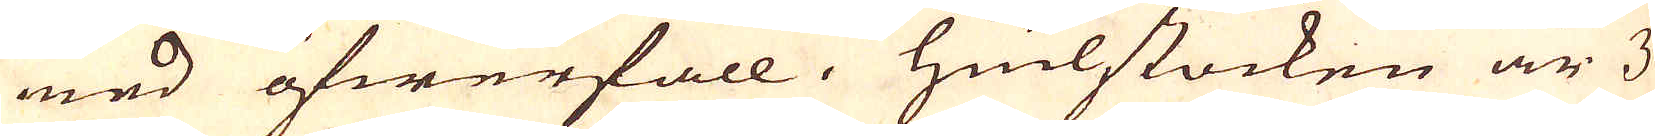med öfwerfall. Hiulstocken är 3
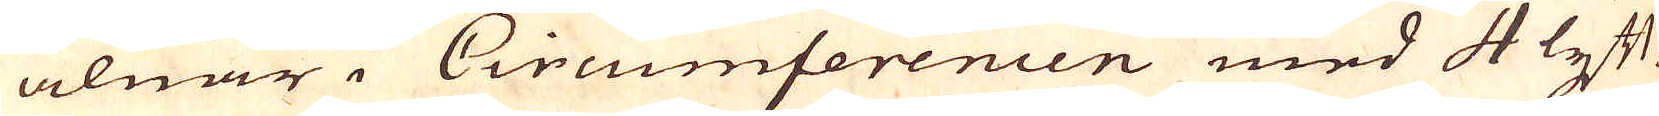alnar i Circumferencen med 4 lyft-
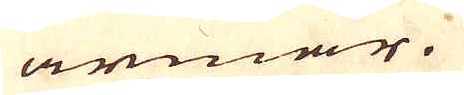armar.
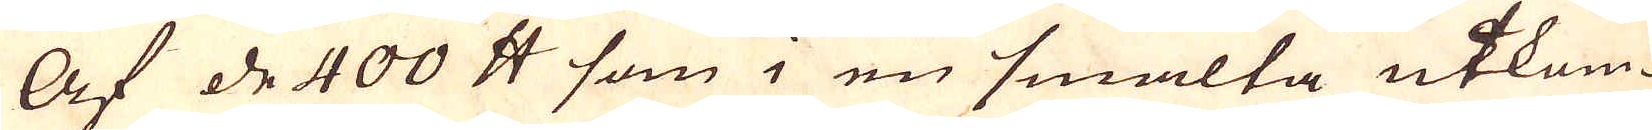Af de 400 skålpund som i en smälta utkom-
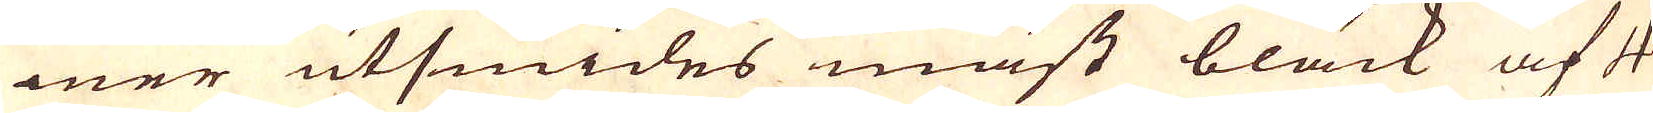mer utsmides mäst bläck af 4
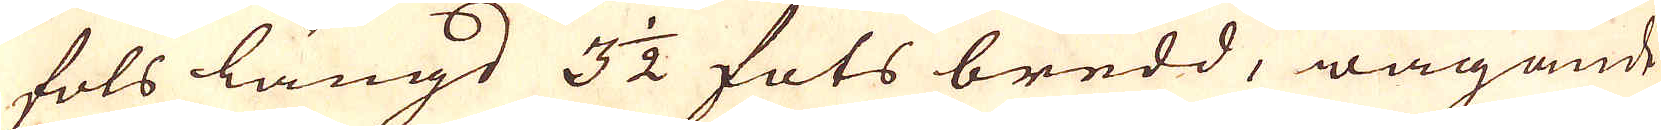fots längd 3 1/2 fots bredd, wägande
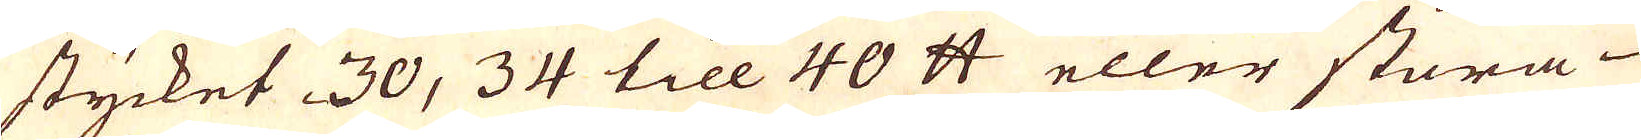stycket 30, 34 till 40 skålpund eller stora
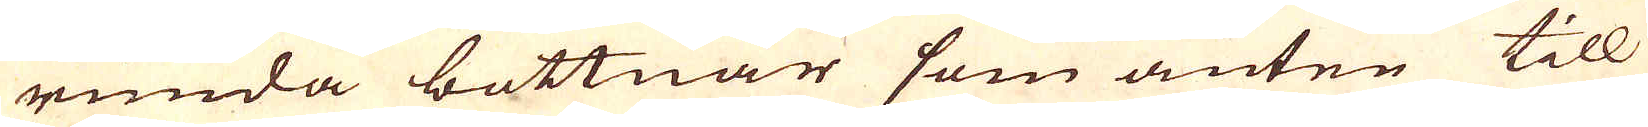runda bottnar som anten till
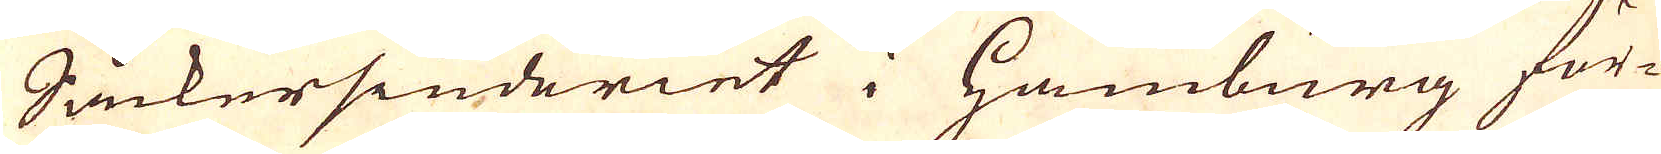Såckersiuderiet i Hamburg för-
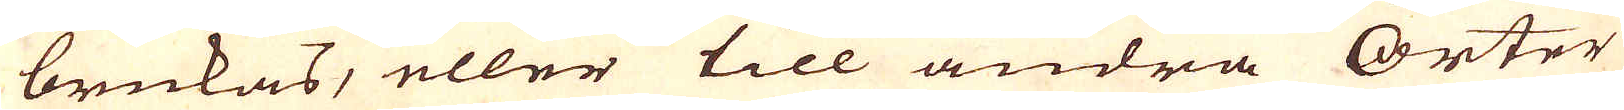brukas, eller till andra Orter
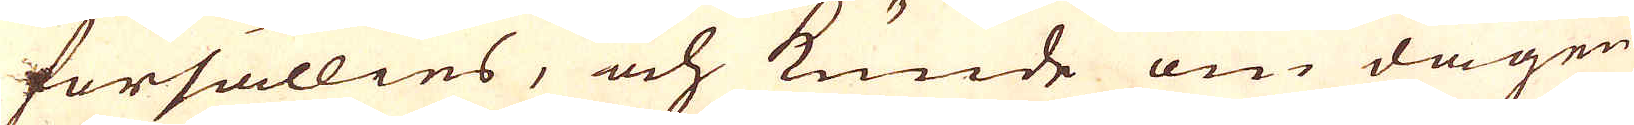försällies, och kunde om dagen
